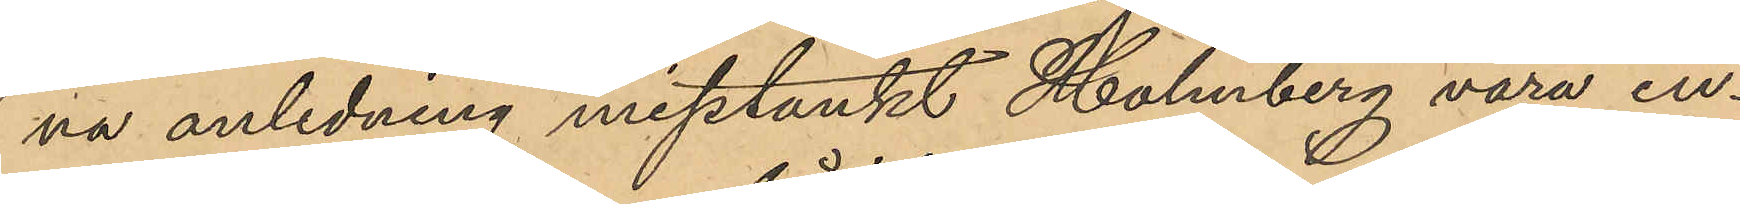na anledning misstänkt Holmberg vara in¬
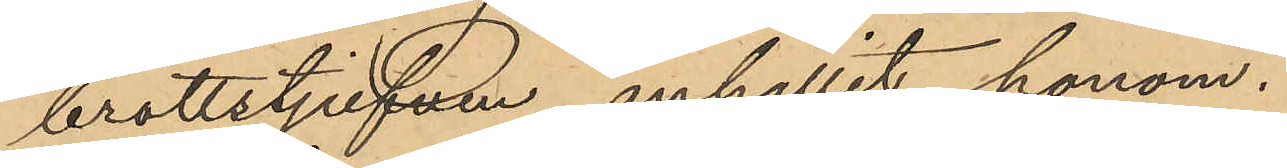brottstjufven anhållit honom.
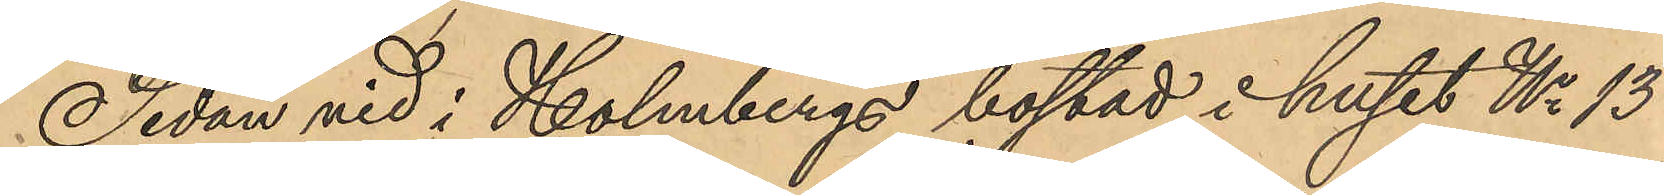Sedan vid i Holmbergs bostad i huset No 13
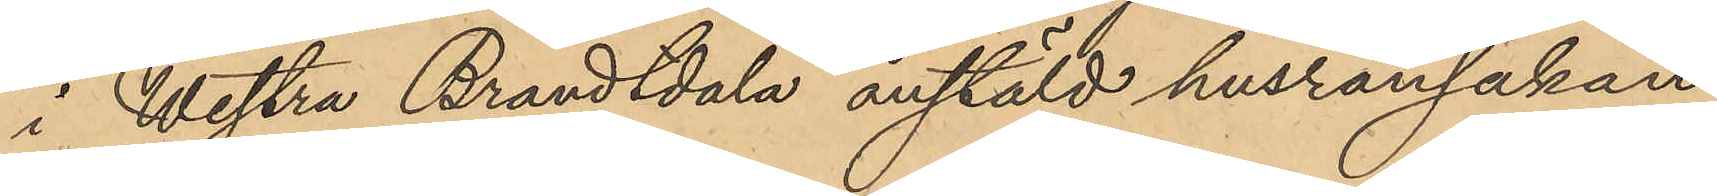i Westra Brandtdala anstäld husransakan
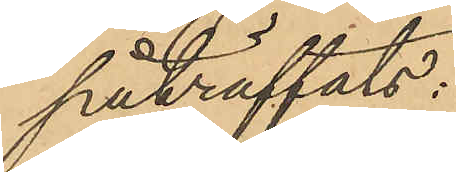påträffats:
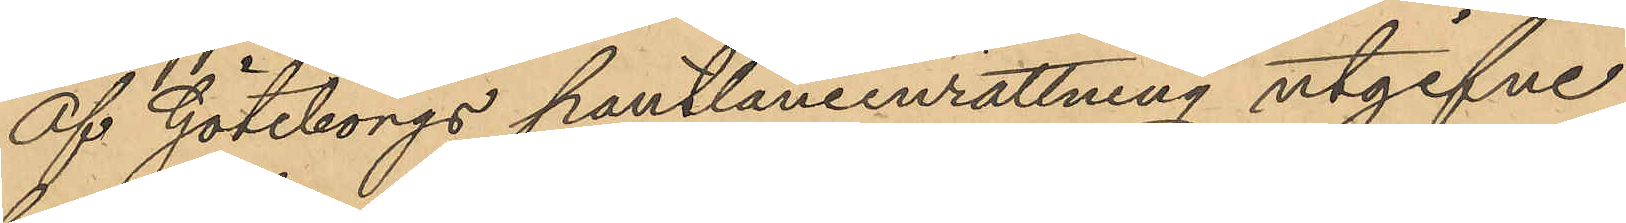af Göteborgs pantlåneinrättning utgifne
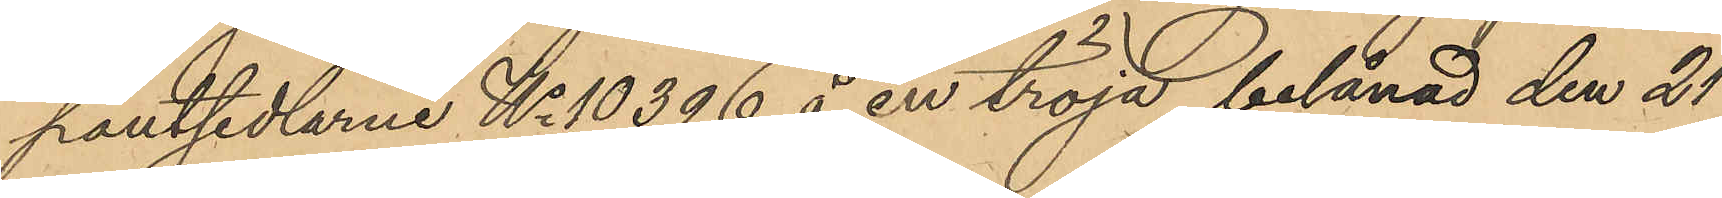pantsedlarne No 10396 å en tröja belånad den 21
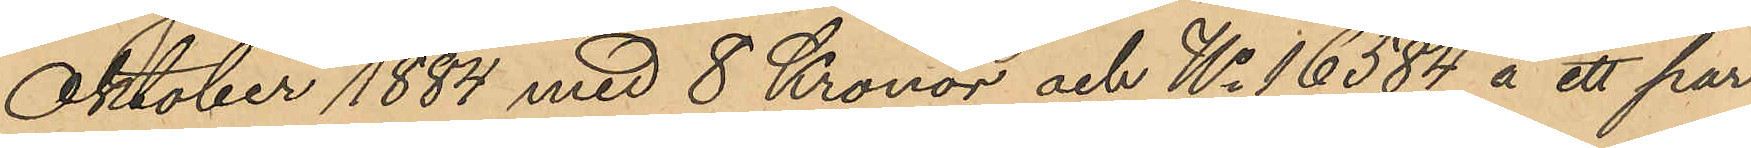Oktober 1884 med 8 Kronor och No 16584 å ett par
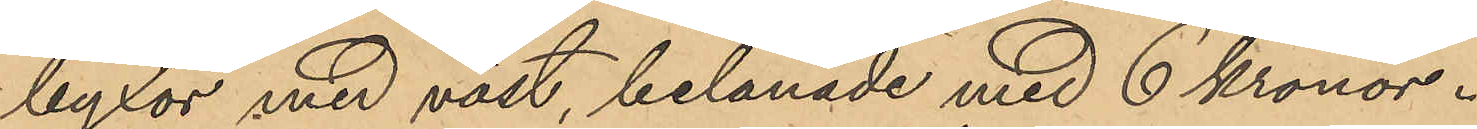byxor med väst, belånade med 6 kronor.
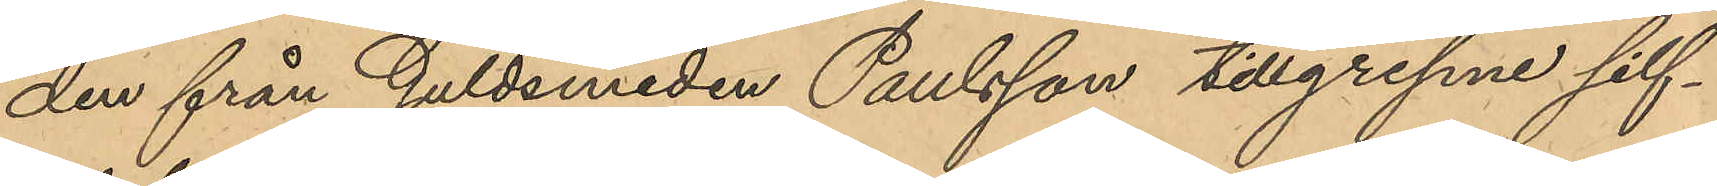den från Guldsmeden Paulsson tillgrepne silf¬
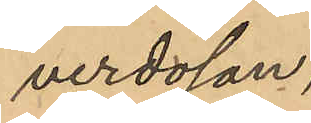verdosan,
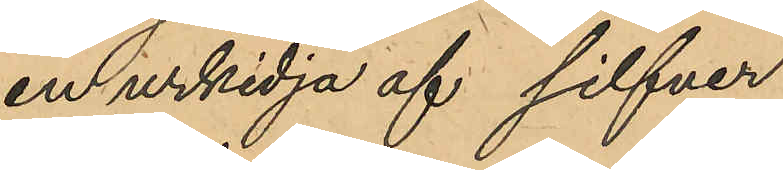en urkedja af silfver
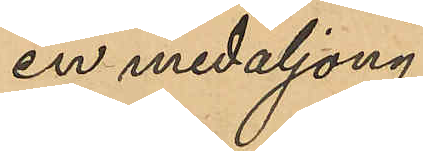en medaljong
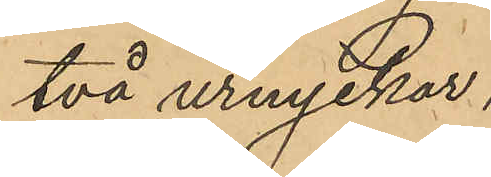två urnyckar;
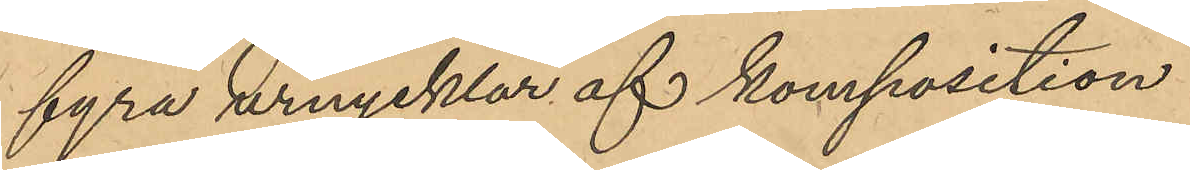fyra urnycklar af komposition
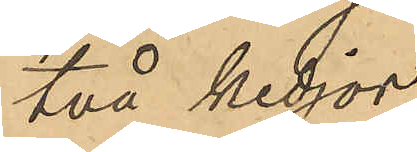två kedjor.
